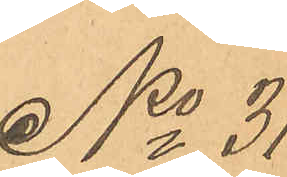No 31
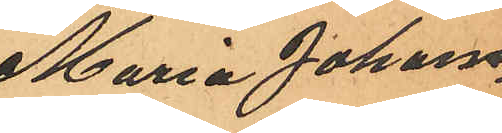Maria Johans¬
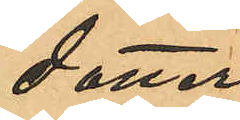dotter.
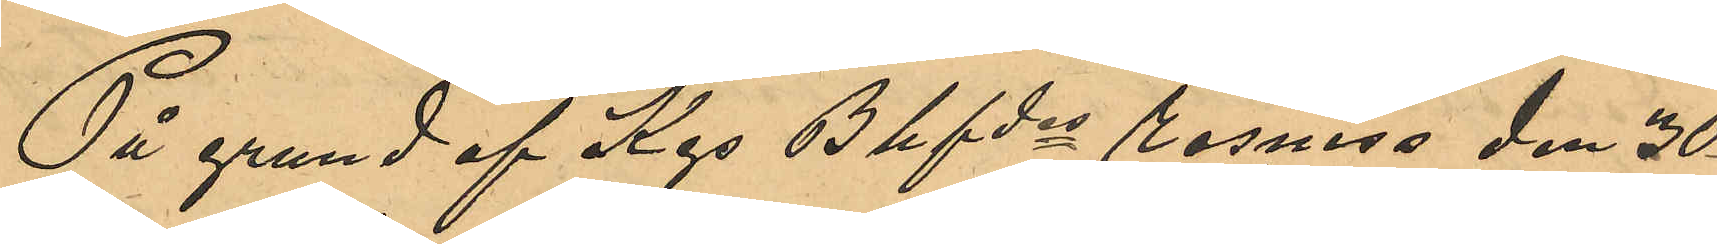På grund af Kgs Bhfdes remiss den 30
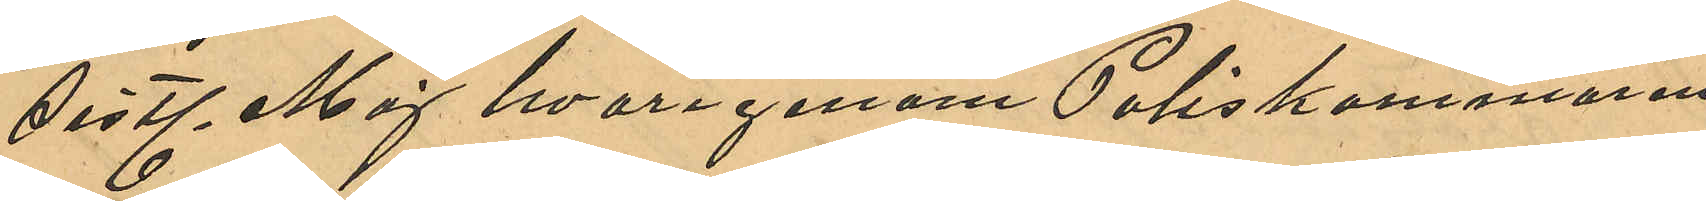sistl Maj hvarigenom Poliskammaren
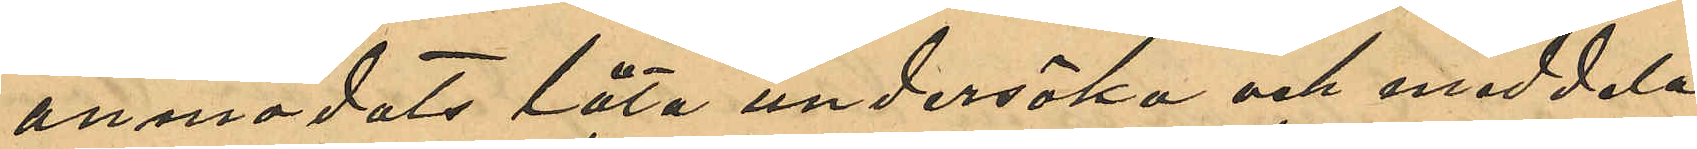anmodats låta undersöka och meddela
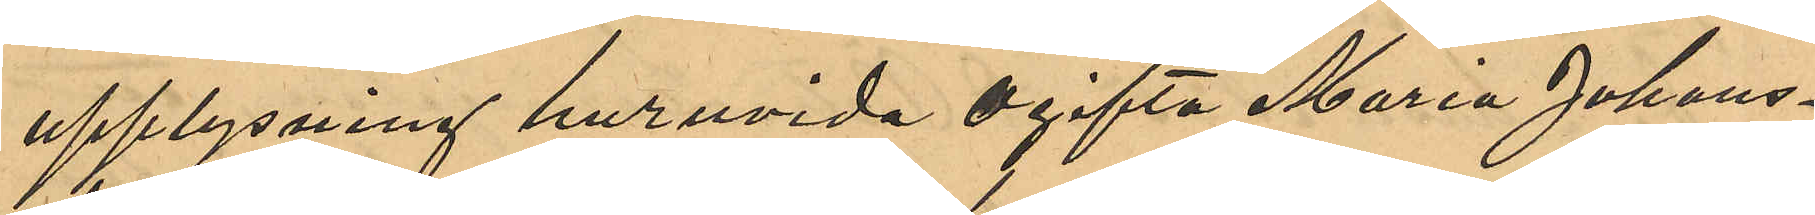upplysning huruvida ogifta Maria Johans¬
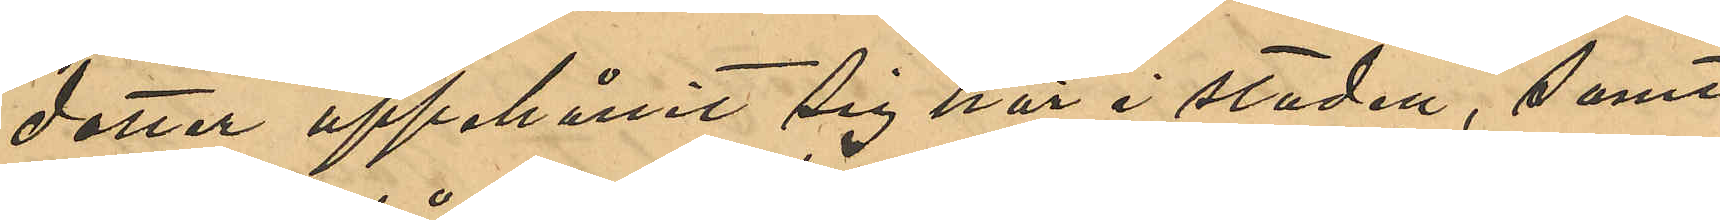dotter uppehållit sig här i staden, samt
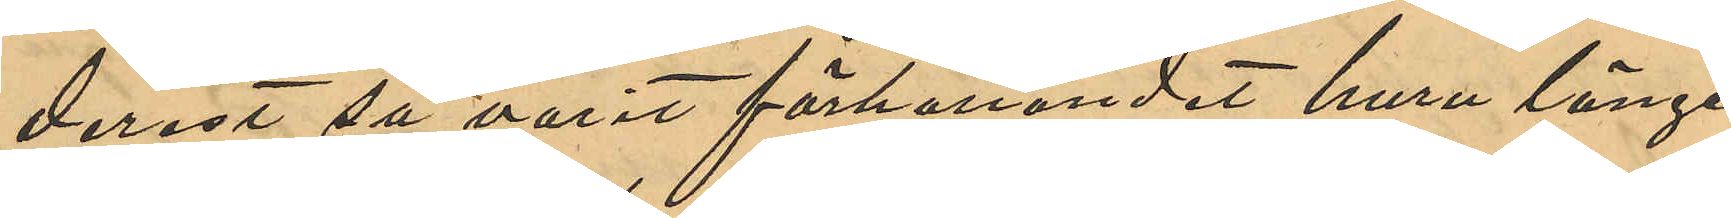derest så varit förhållandet, huru länge
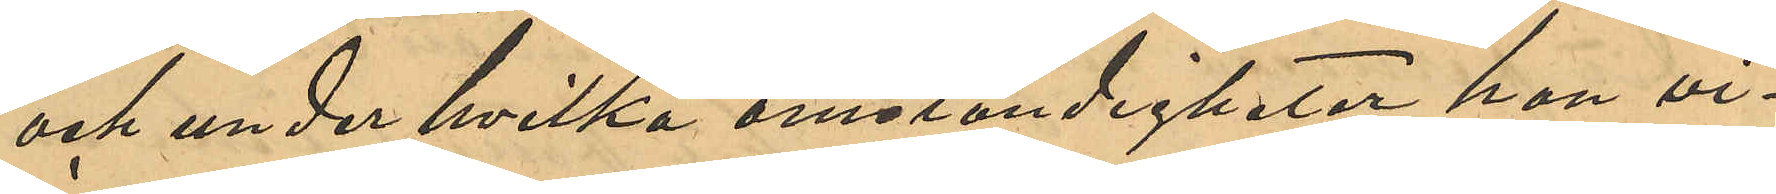och under hvilka omständigheter hon vi¬
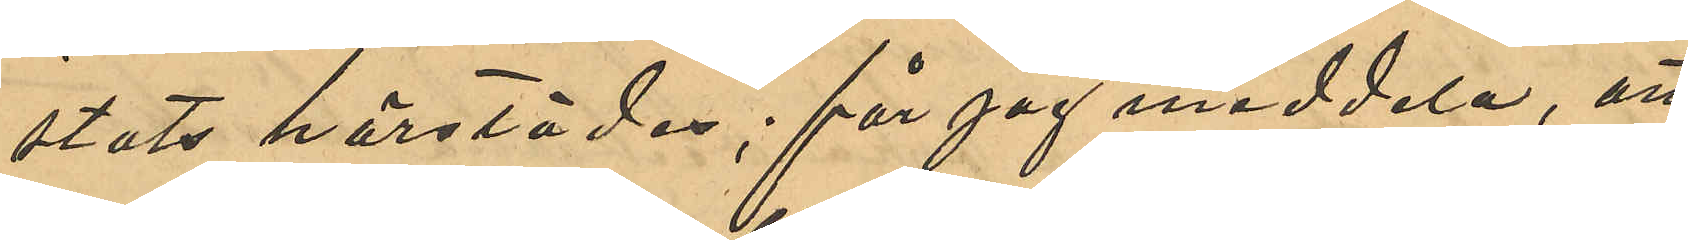stats härstädes; får jag meddela, att
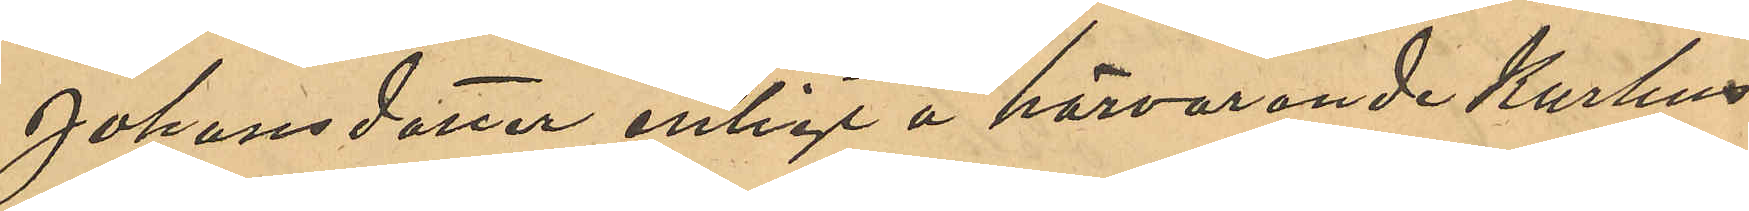Johansdotter enligt härvarande Kurhus
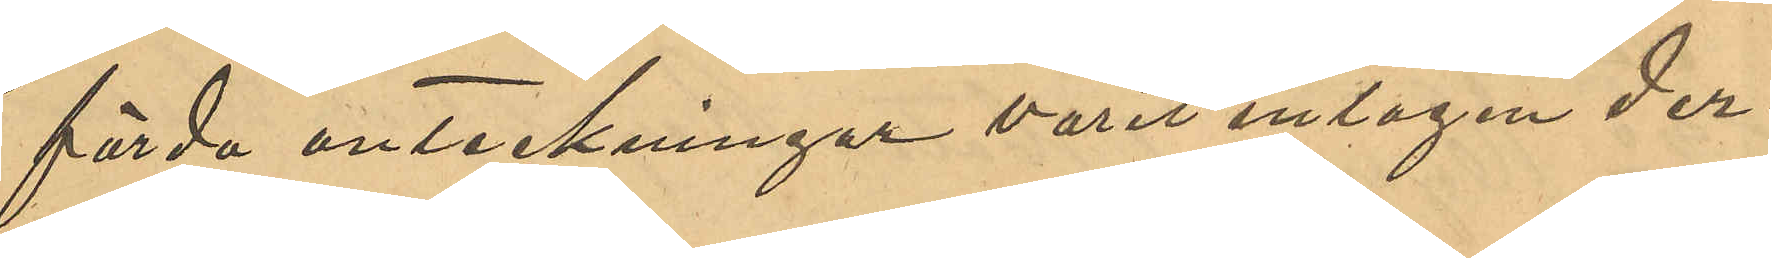förda anteckningar varit intagen der¬
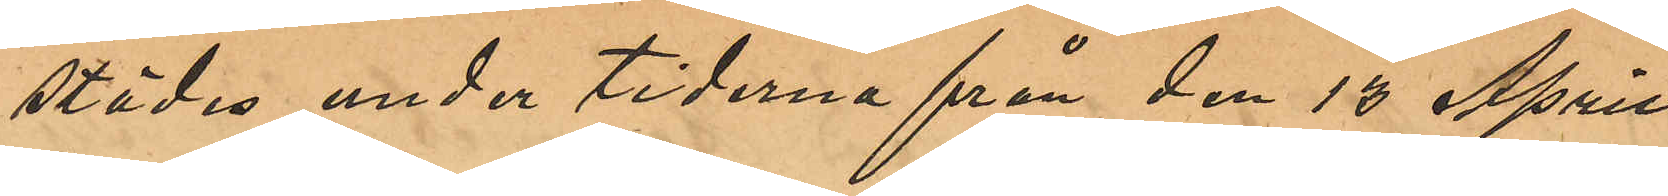städes under tiderna från den 13 April
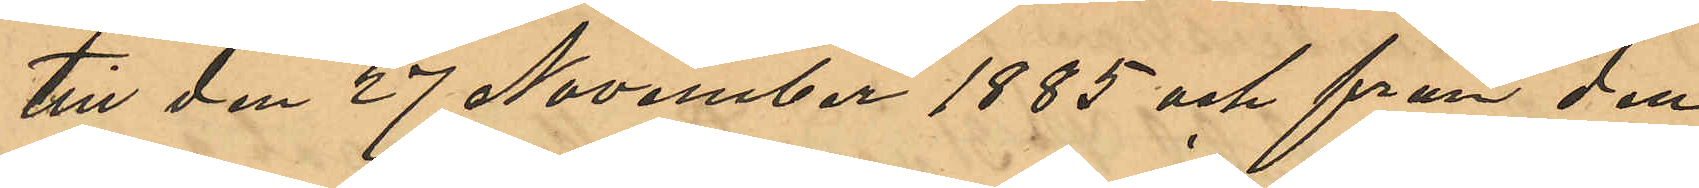till den 27 November 1885 och från den
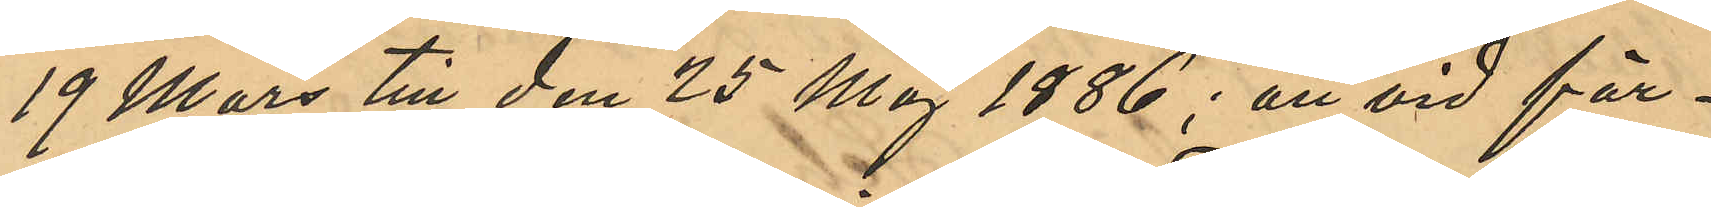19 Mars till den 25 Maj 1886; att vid för¬
